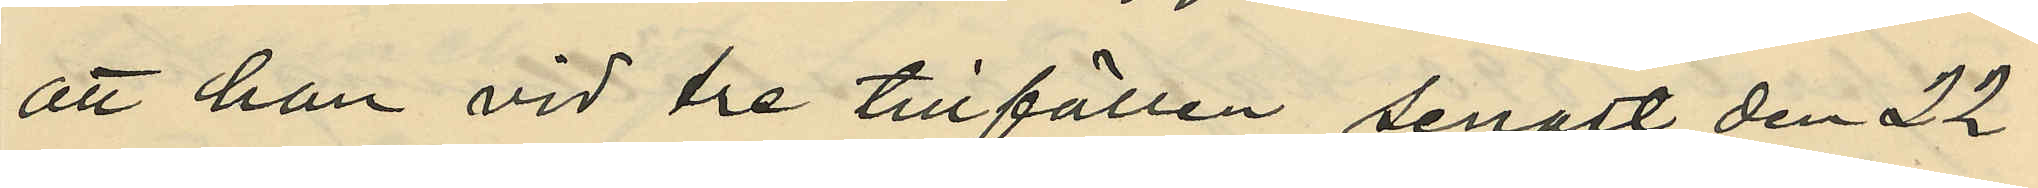att han vid tre tillfällen, senast den 22
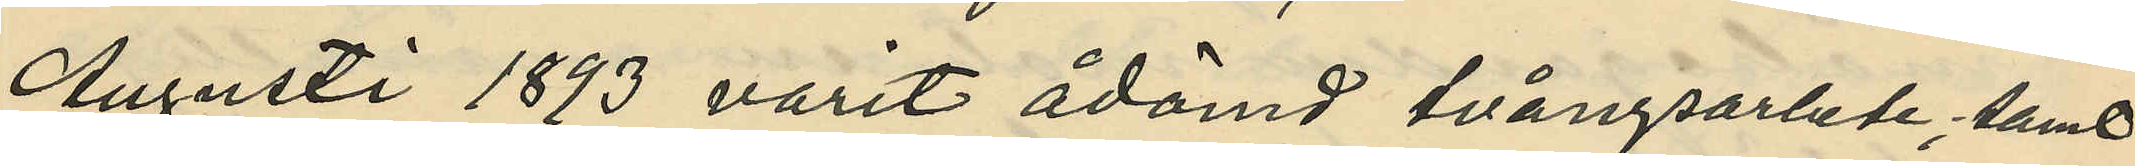Augusti 1893 varit ådömd tvångsarbete; samt
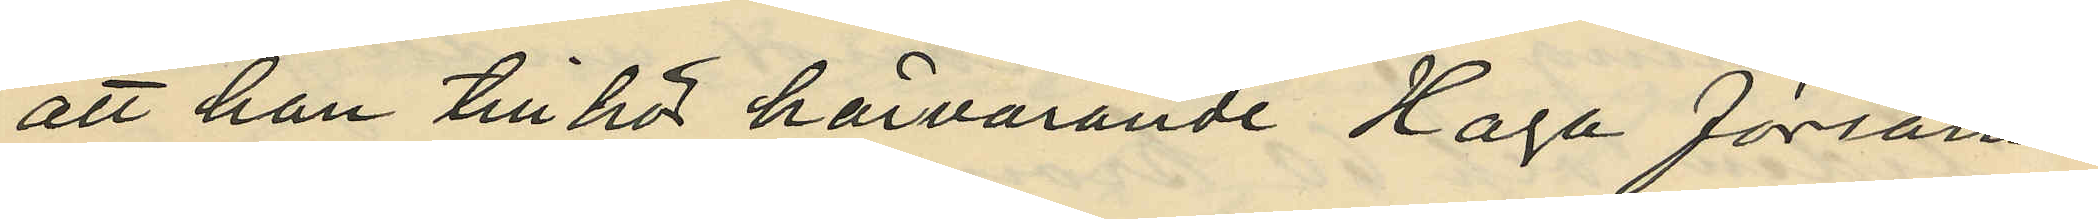att han tillhör härvarande Haga försam¬
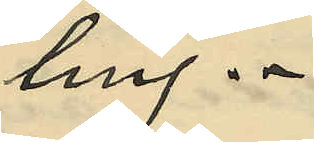ling.
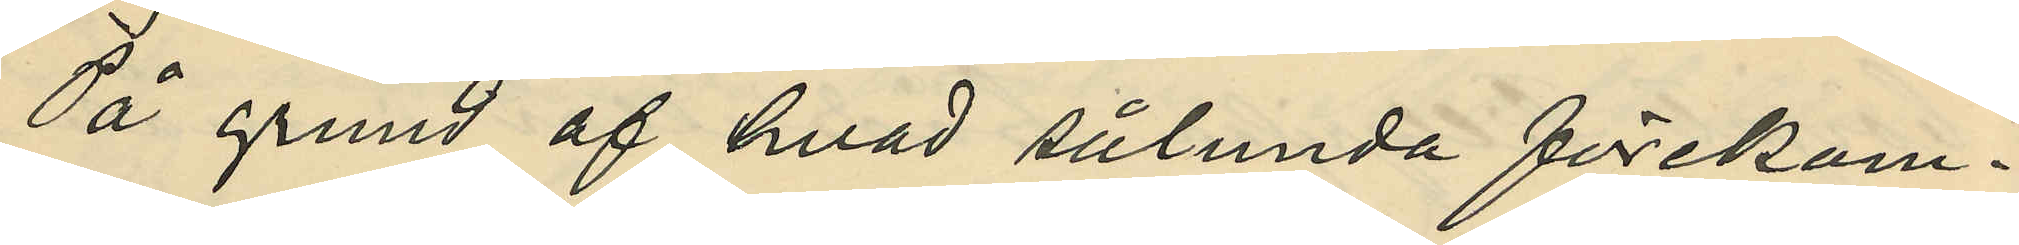På grund af hvad sålunda förekom¬
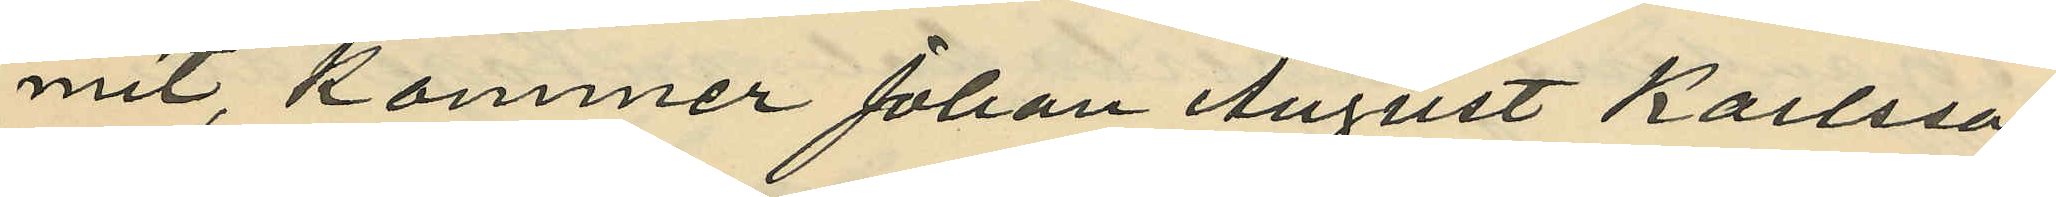mit, kommer Johan August Karlsson
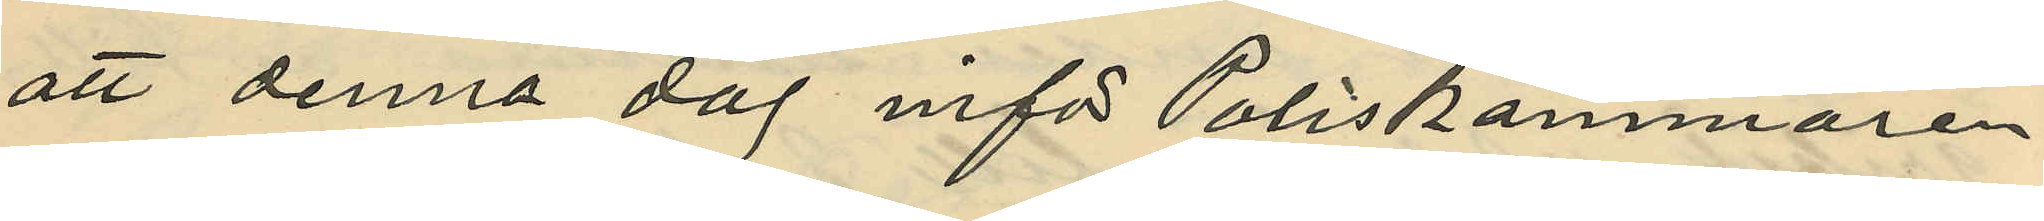att denna dag inför Poliskammaren
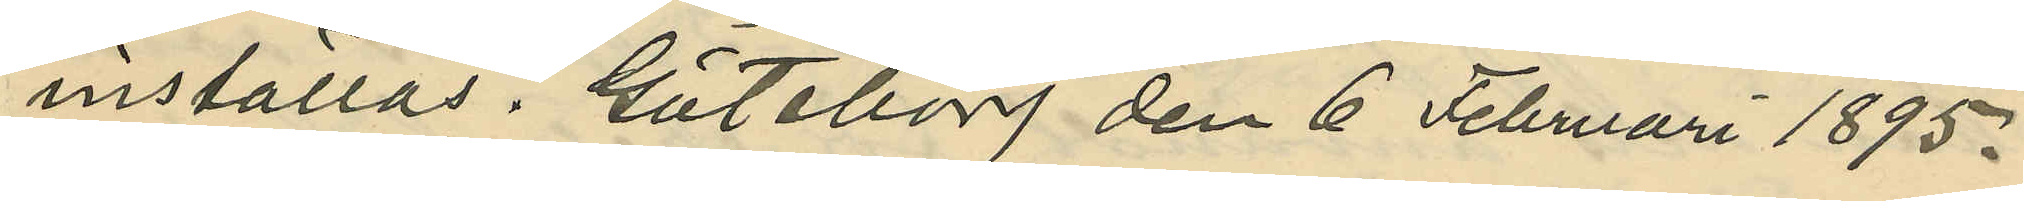inställas. Göteborg den 6 Februari 1895.
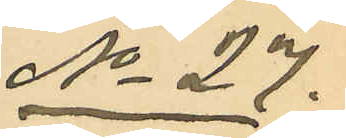No 27.
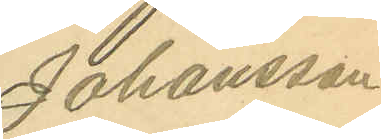Johansson
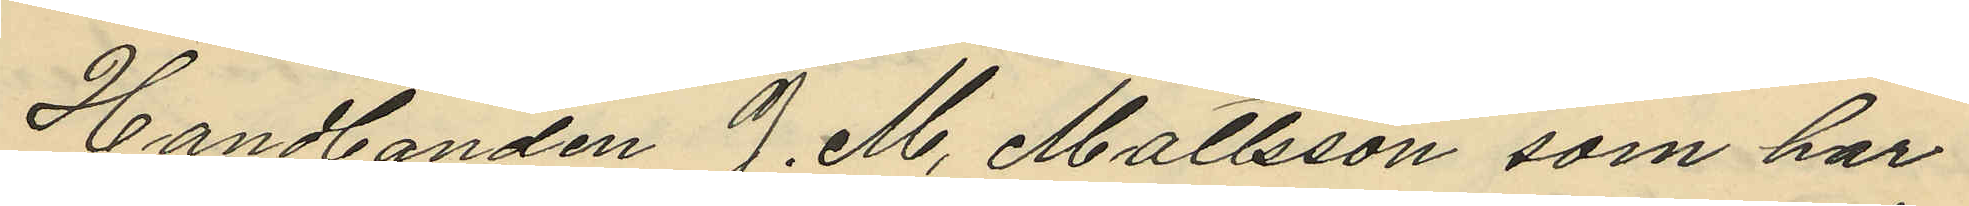Handlanden J. M. Mattsson, som har
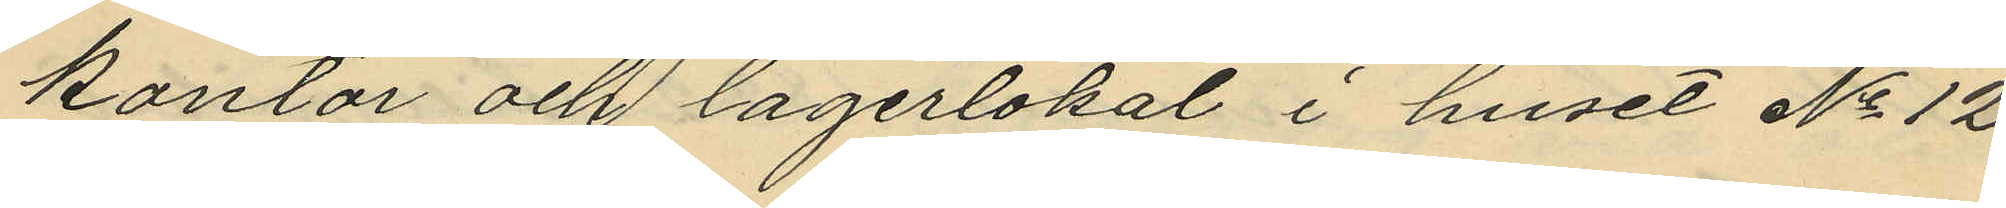kontor och lagerlokal i huset No 12
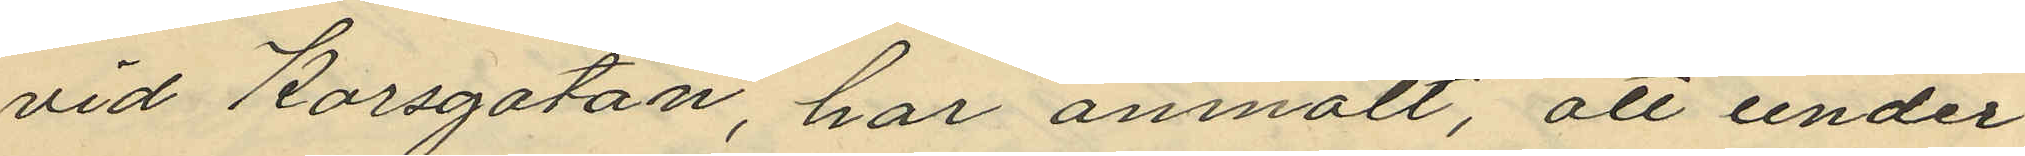vid Korsgatan, har anmält, att under
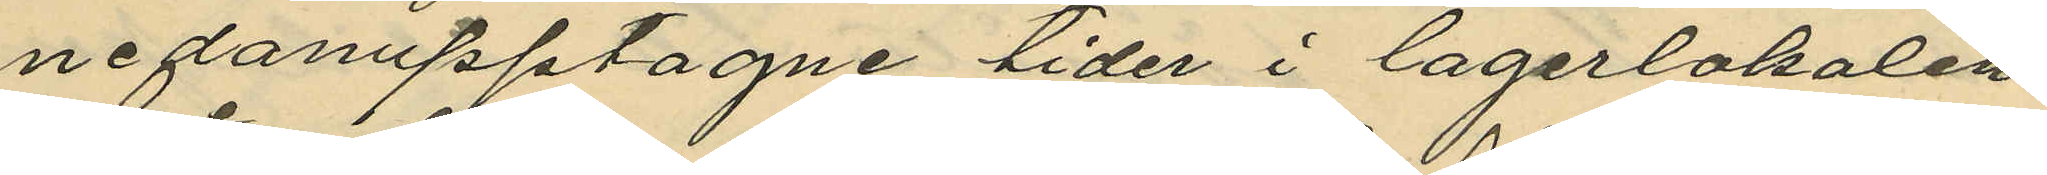nedanupptagne tider i lagerlokalen
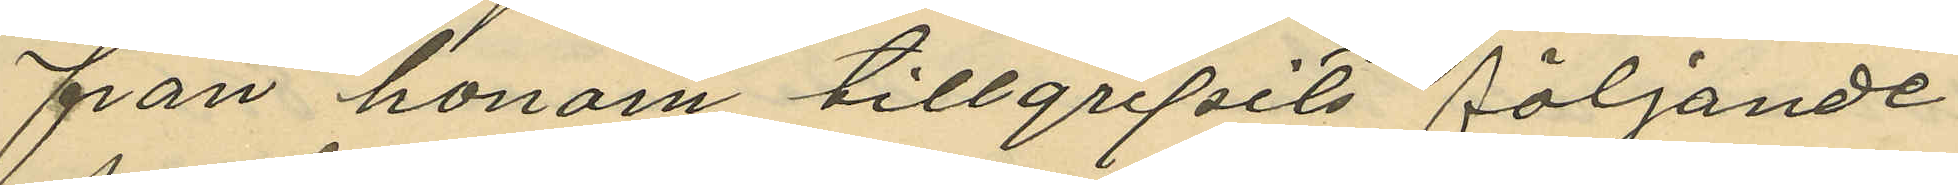från honom tillgripits följande
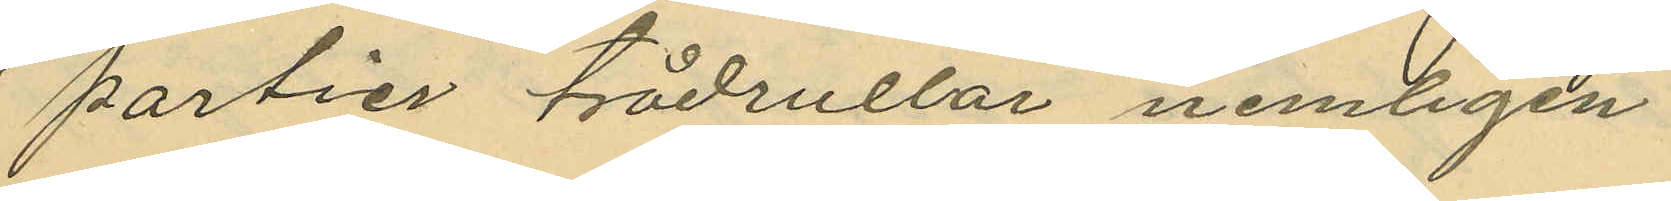partier trådrullar nemligen
